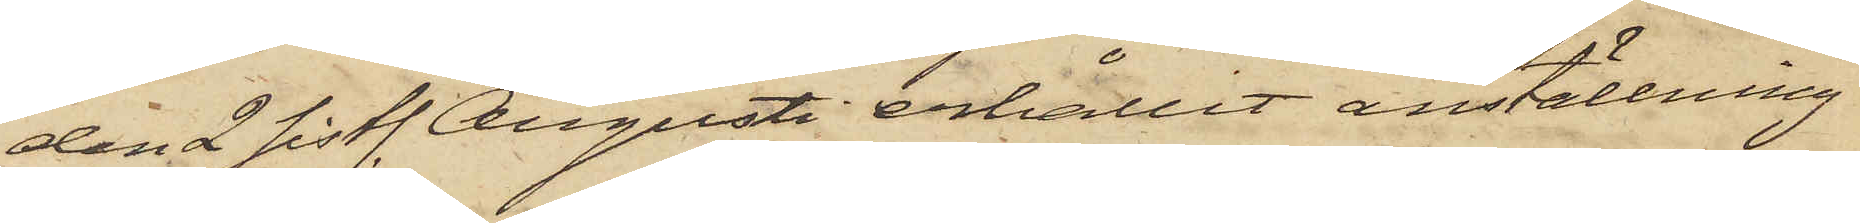den 2 sistl. Augusti erhållit anställning
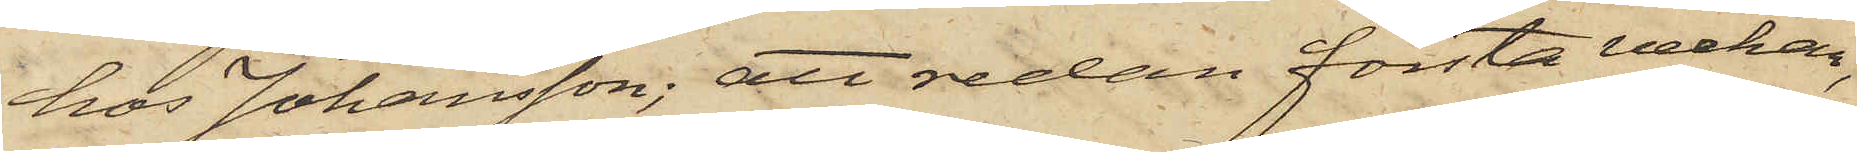hos Johansson; att redan första veckan,
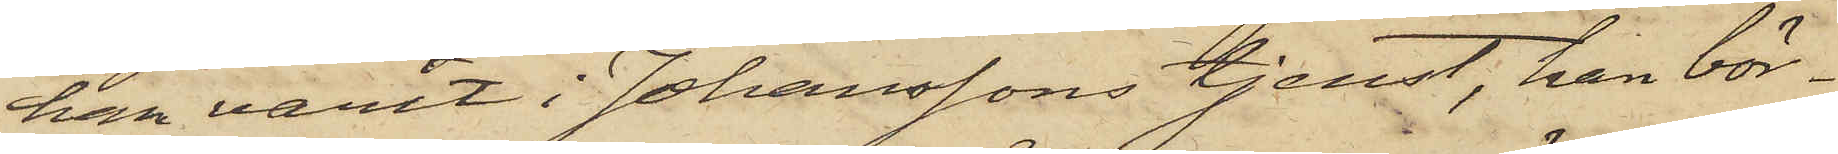han varit i Johanssons tjenst, han bör¬
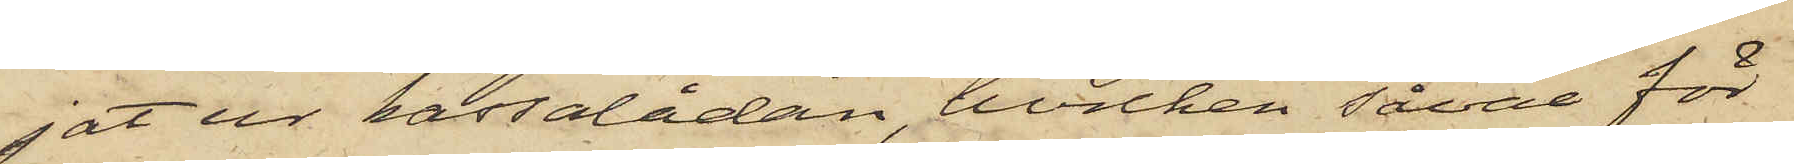jat ur kassalådan, hvilken såväl för
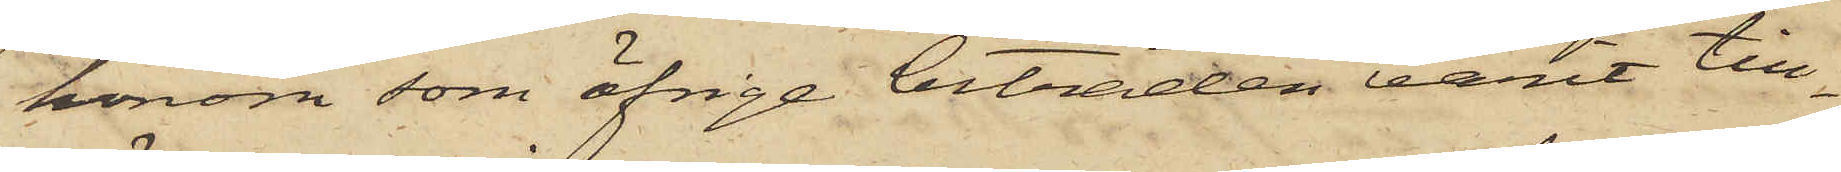honom som öfrige biträden varit till¬
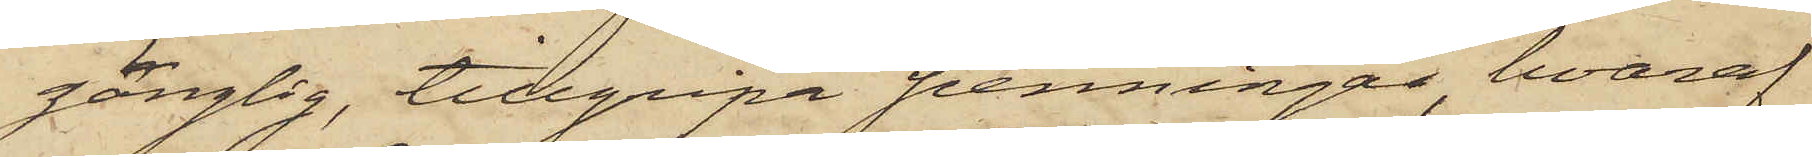gänglig, tillgripa penningar, hvaraf
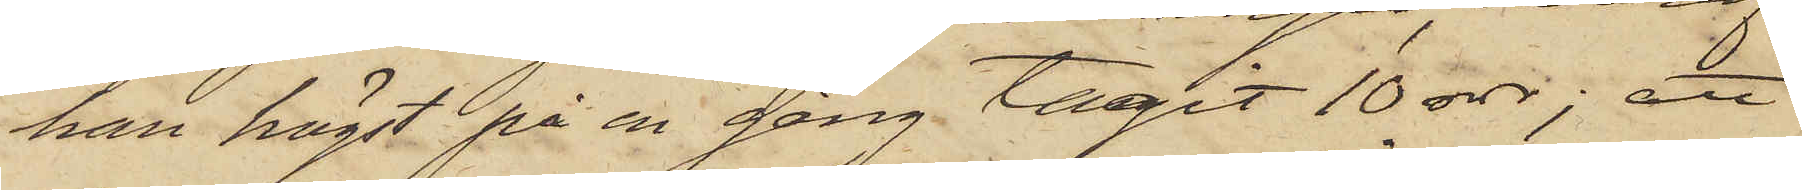han högst på en gång tagit 10 rdr; att
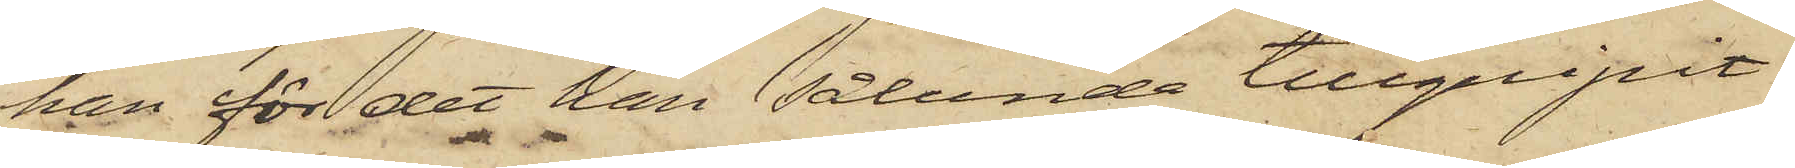han för det han sålunda tillgripit
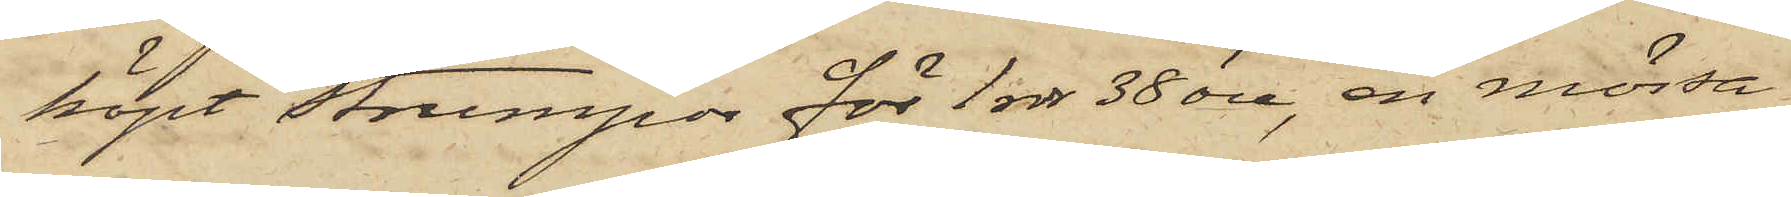köpt strumpor för 1 rdr 38 öre, en mössa
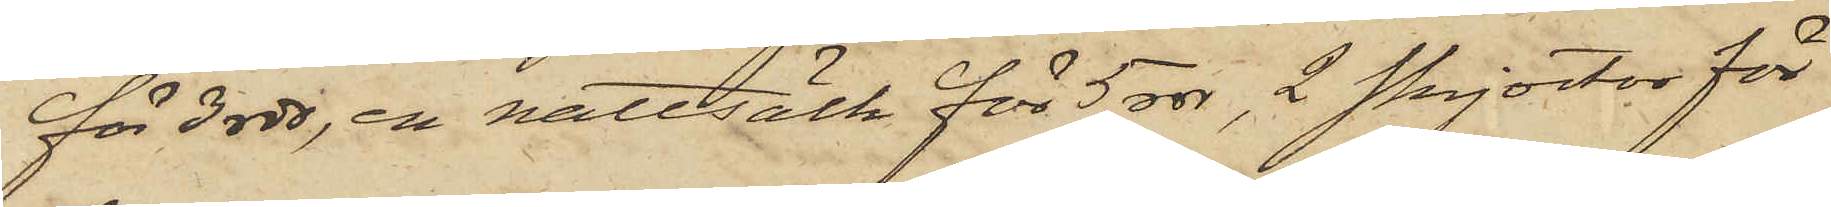för 3 rdr, en nattsäck för 5 rdr, 2 skjortor för
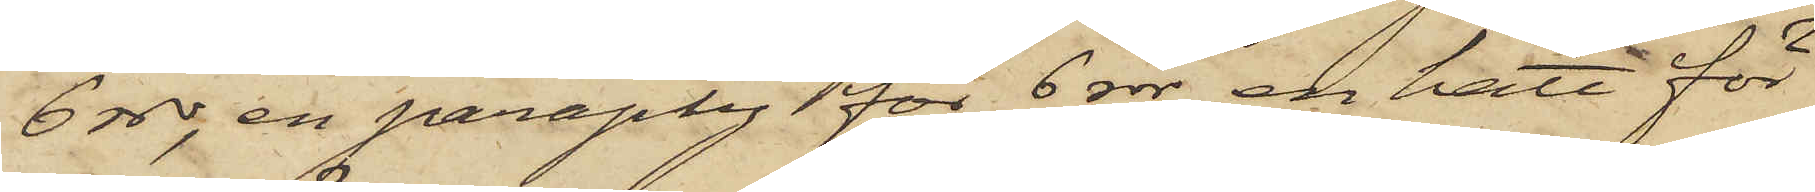6 rdr, en paraply för 6 rdr, en hatt för
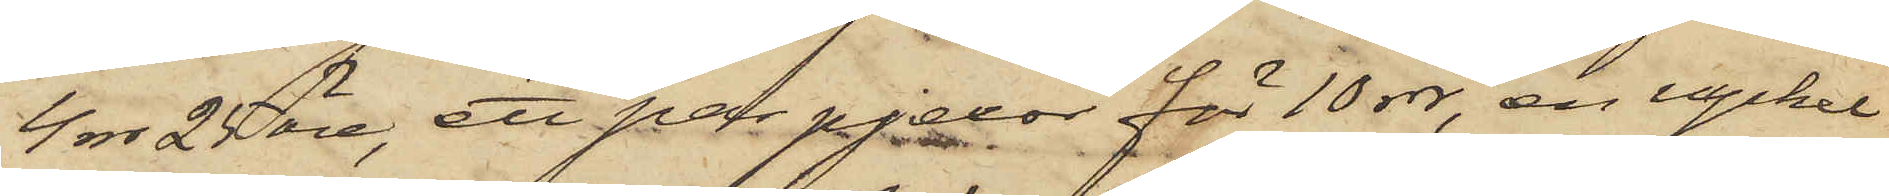4 rdr 25 öre, ett par pjexor för 10 rdr, en nyckel
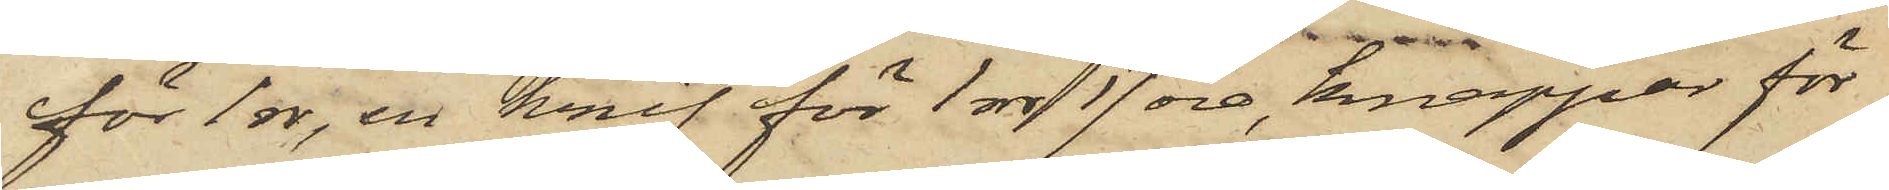för 1 rdr, en knif för 1 rdr 17 öre, knappar för
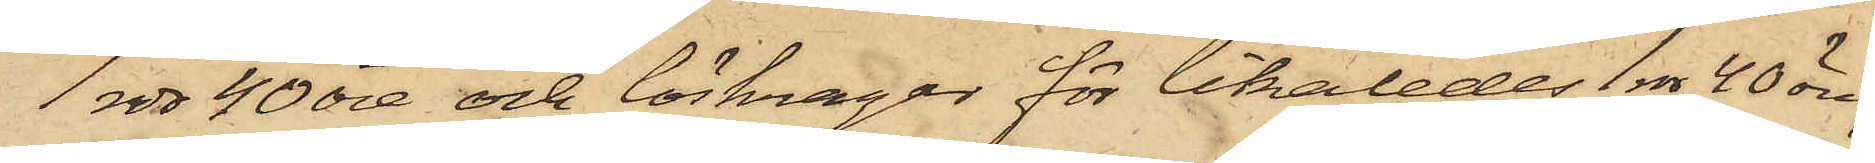1 rdr 40 öre och löskragar för likaledes 1 rdr 40 öre,
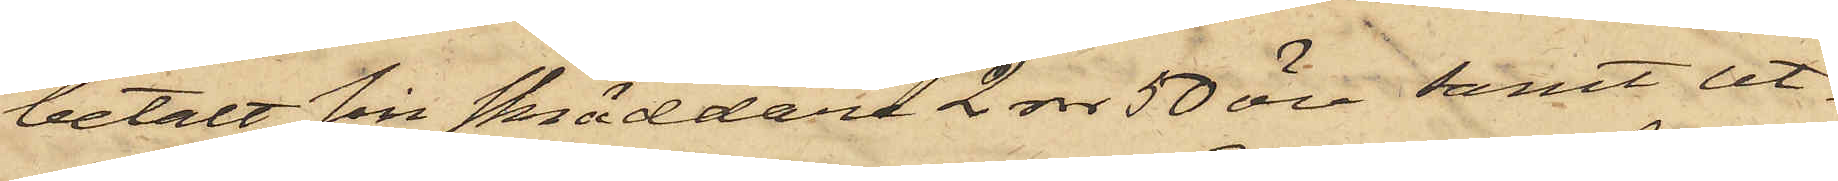betalt sin skräddare 2 rdr 50 öre samt ut¬
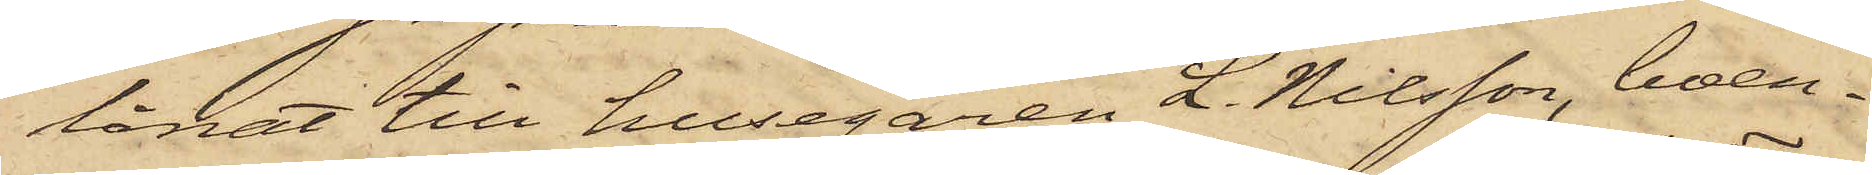lånat till husegaren L. Nilsson, boen¬
